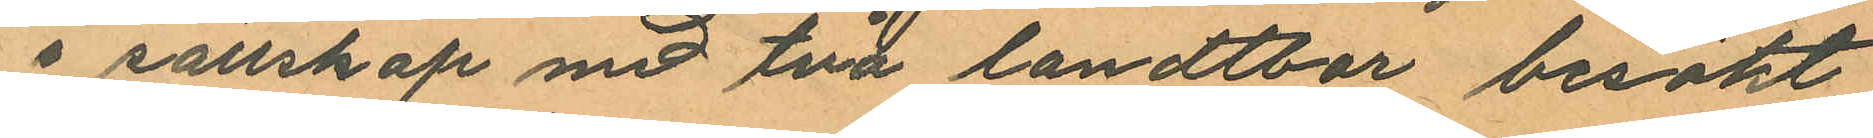i sällskap med två landtbor besökt
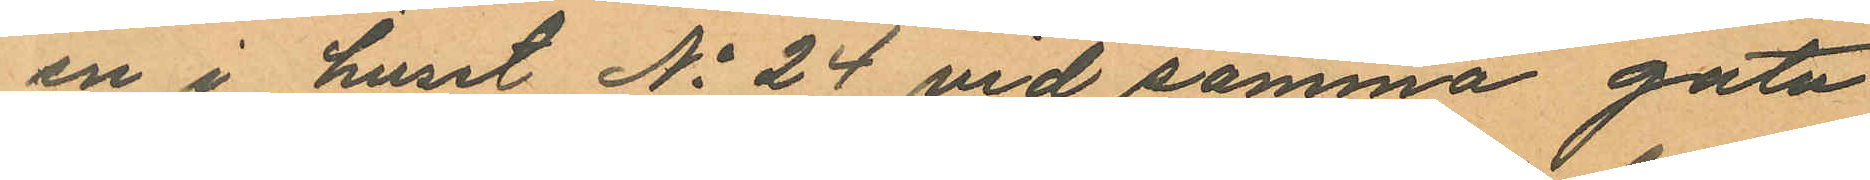en i huset No 24 vid samma gata
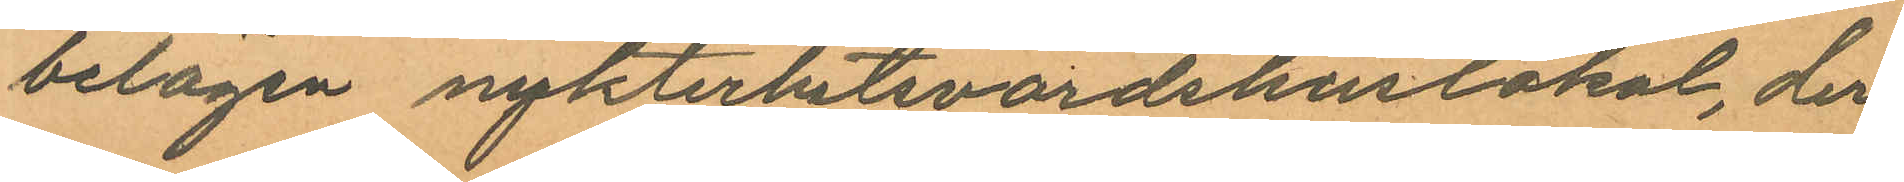belägen nykterhetsvärdshuslokal, der
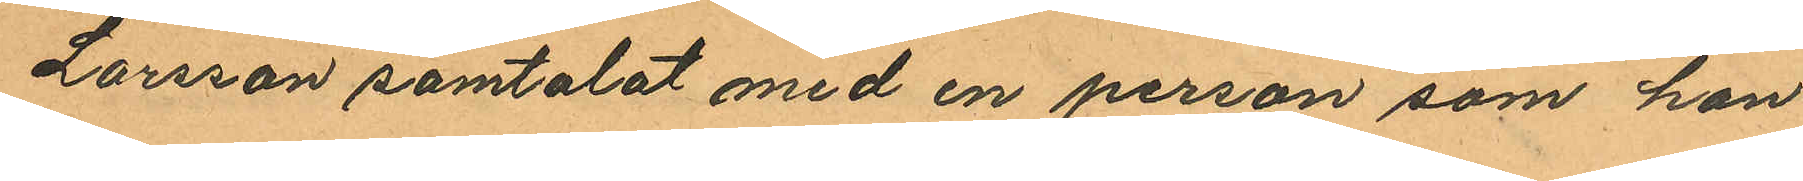Larsson samtalat med en person som han
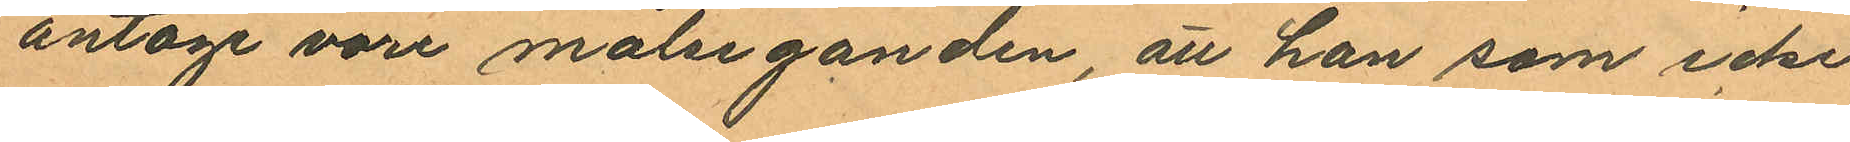antage vore målseganden, att han som icke
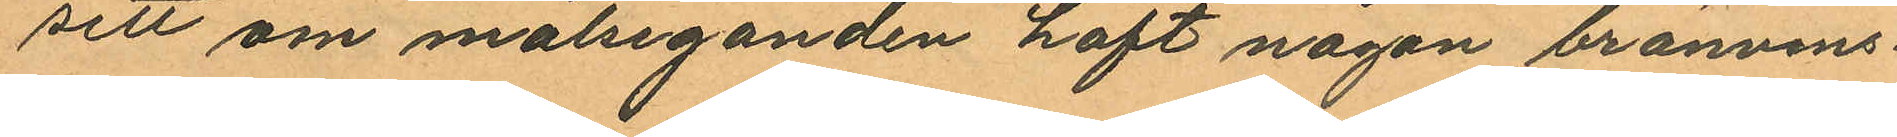sett om målseganden haft någon bränvins¬
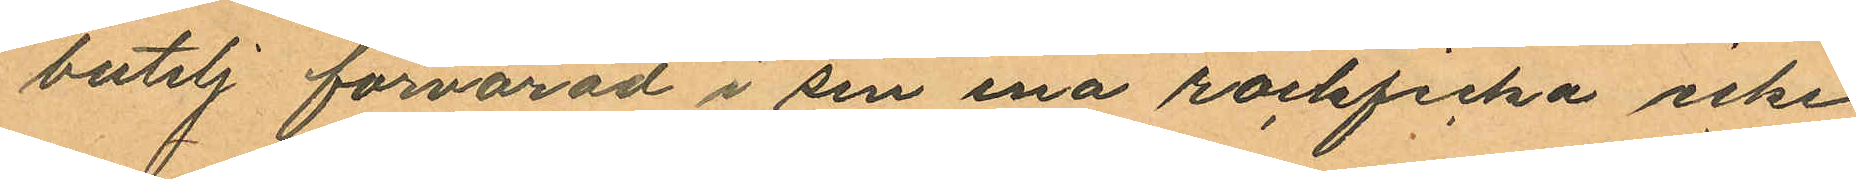butelj förvarad i sin ena rockficka icke
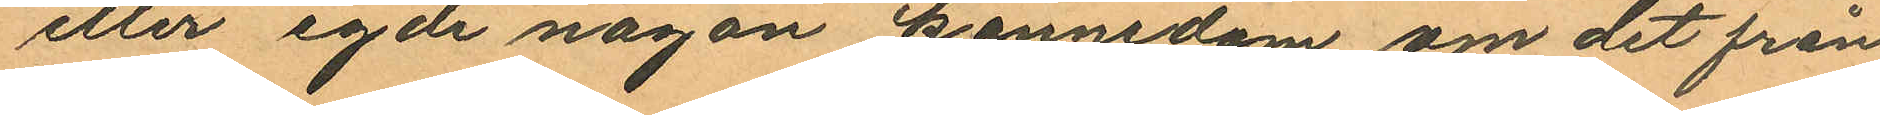eller egde någon kännedom om det från
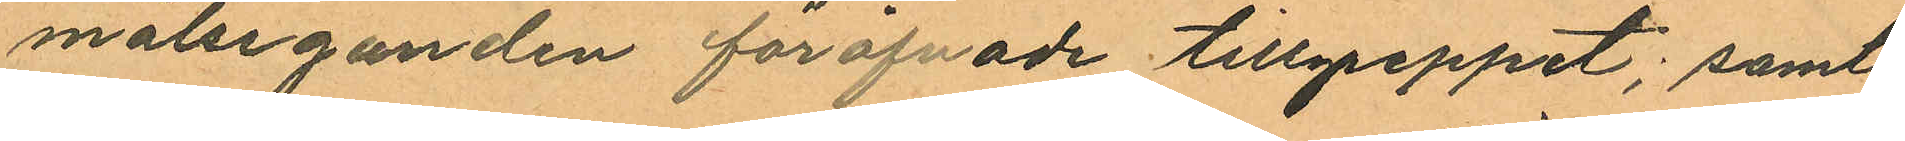målseganden föröfvade tillgreppet; samt
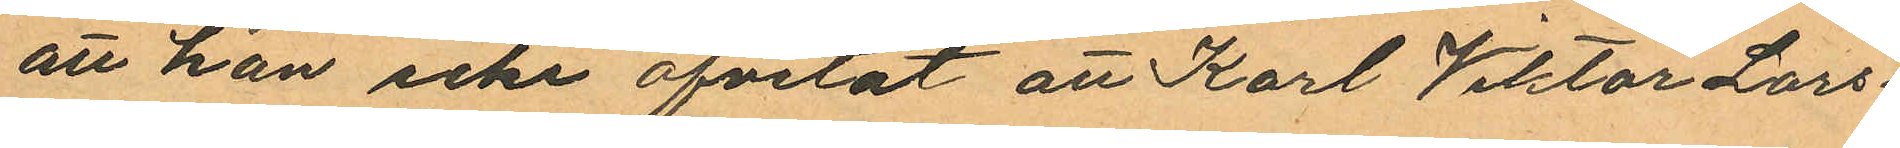att han icke ofvetat att Karl Viktor Lars
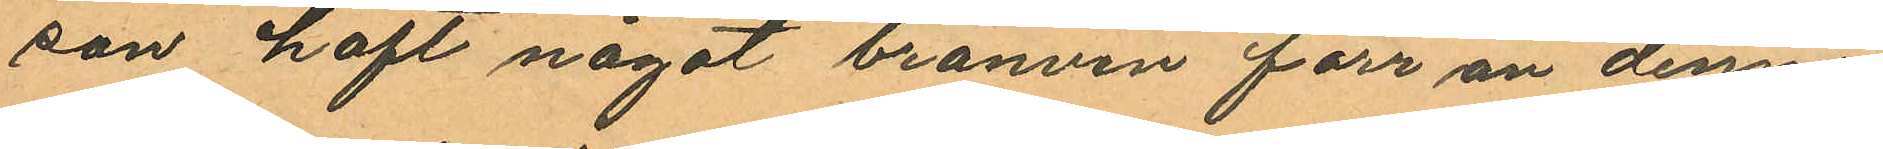son haft något bränvin förr än denne
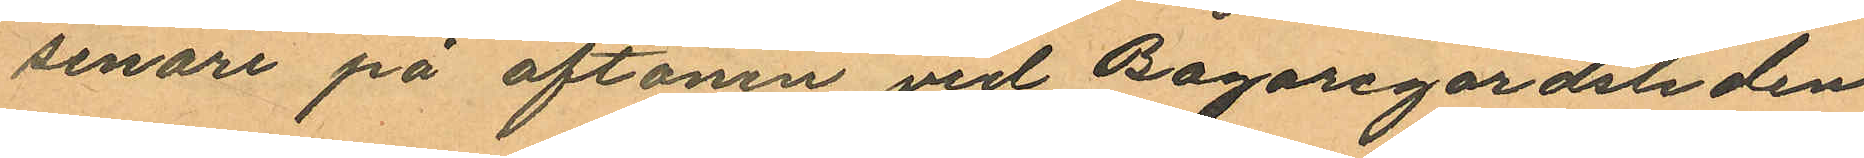senare på aftonen vid Bagaregårdsliden
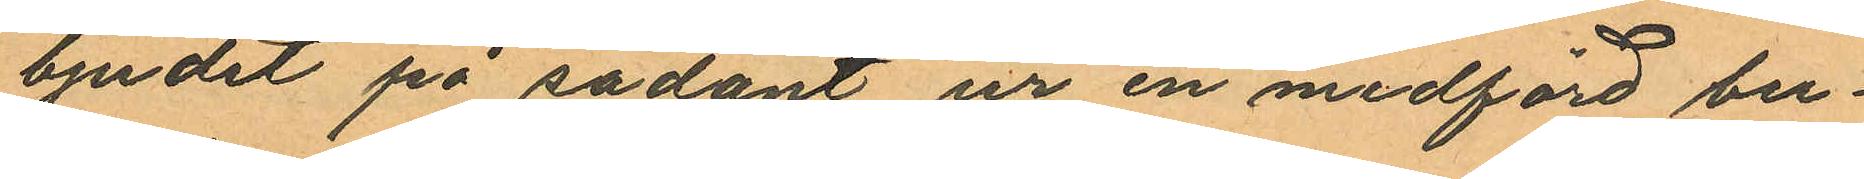bjudit på sådant ur en medförd bu¬
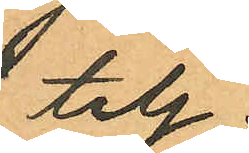telj.
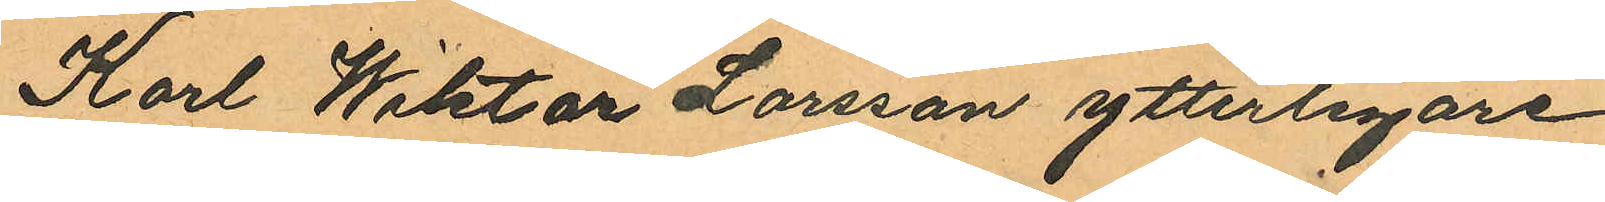Karl Wiktor Larsson ytterligare
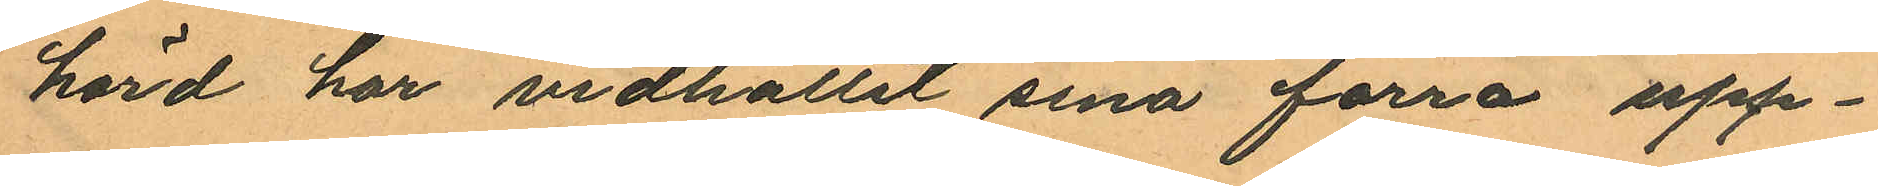hörd har vidhållit sina förra upp¬
